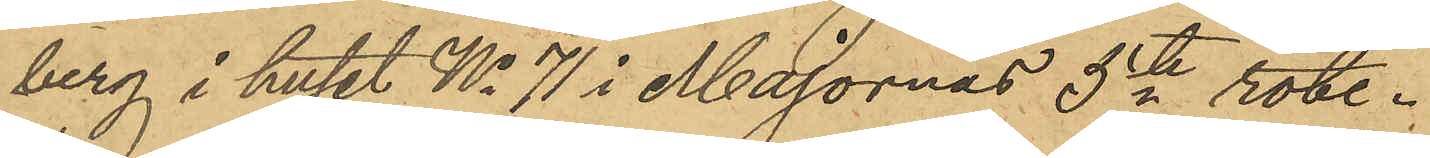berg i huset No 71 i Majornas 5te rote.
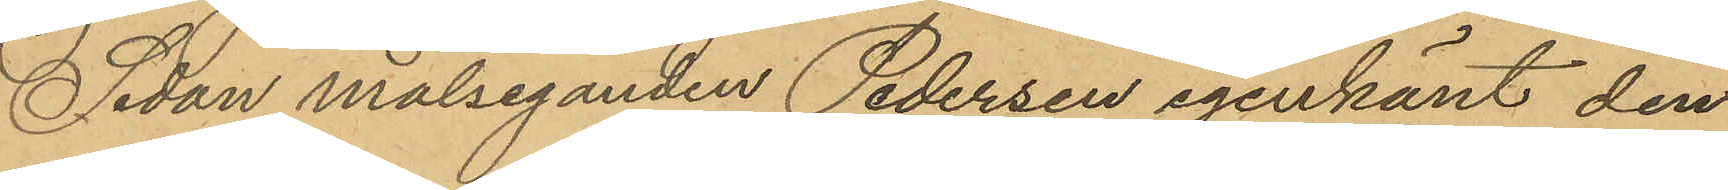Sedan målseganden Pedersen igenkänt den
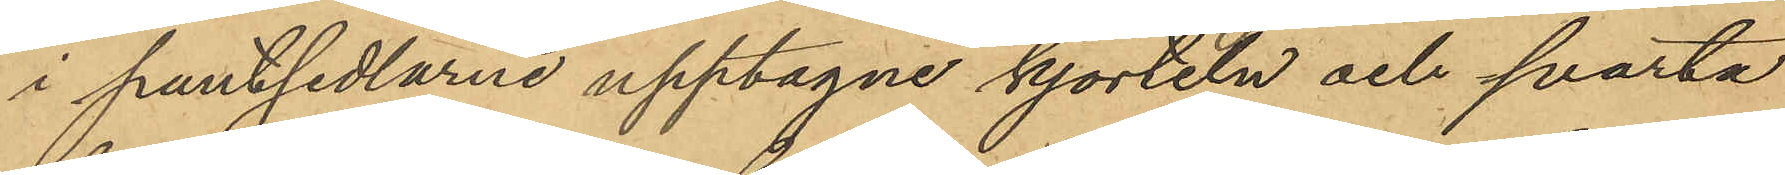i pantsedlarne upptagne kjorteln och svarta
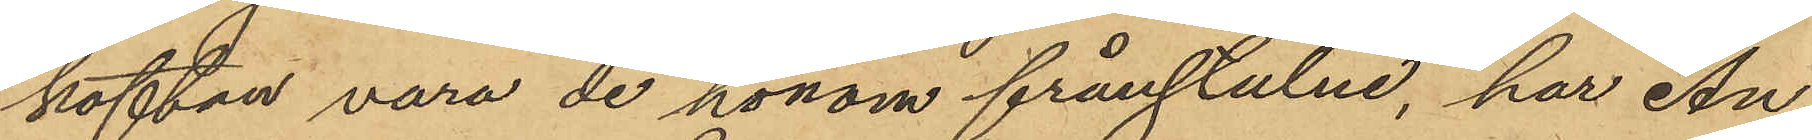koftan vara de honom frånstulne, har An¬
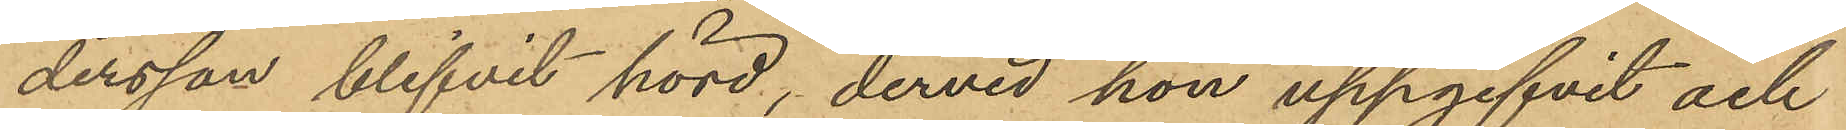dersson blifvit hörd, dervid hon uppgifvit och
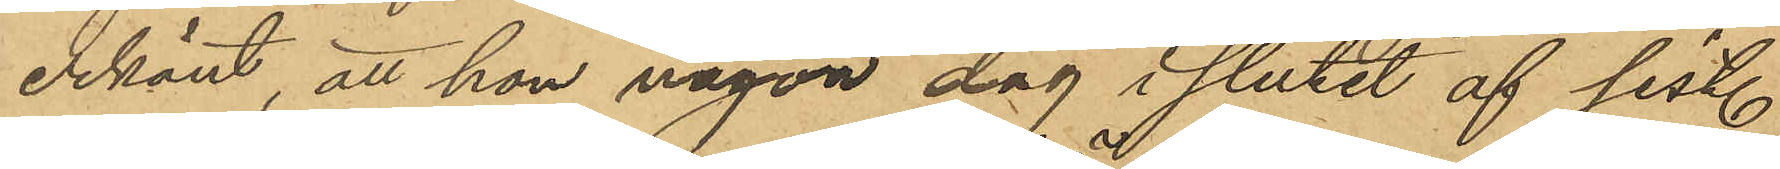erkänt, att hon någon dag i slutet af sist.
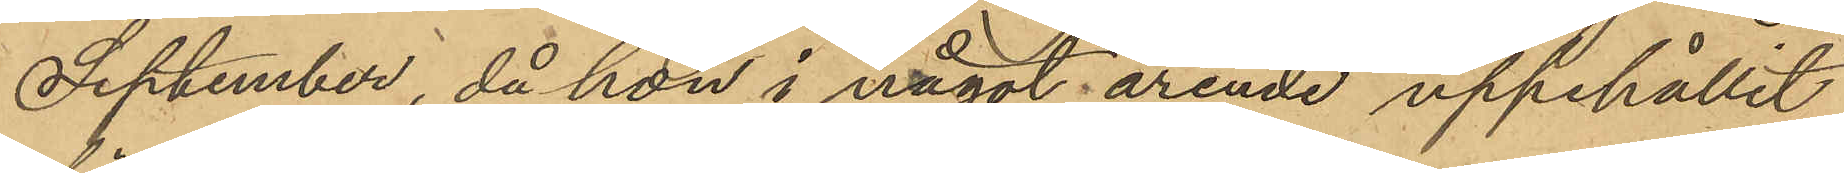September, då hon i något ärende uppehållit
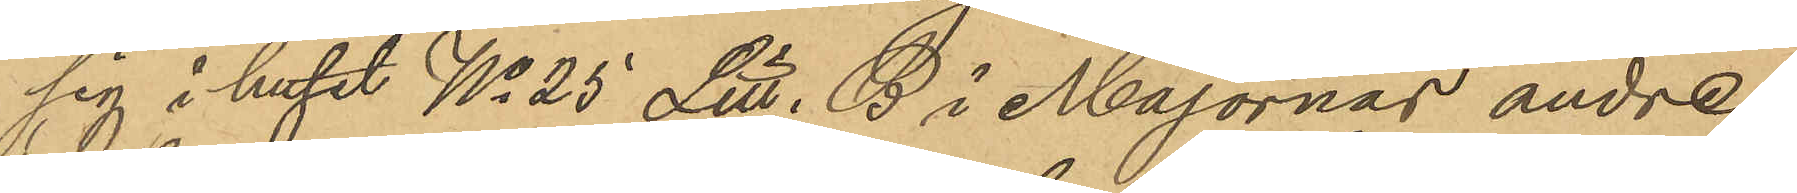sig i huset No 25 Litt. B i Majornas andre
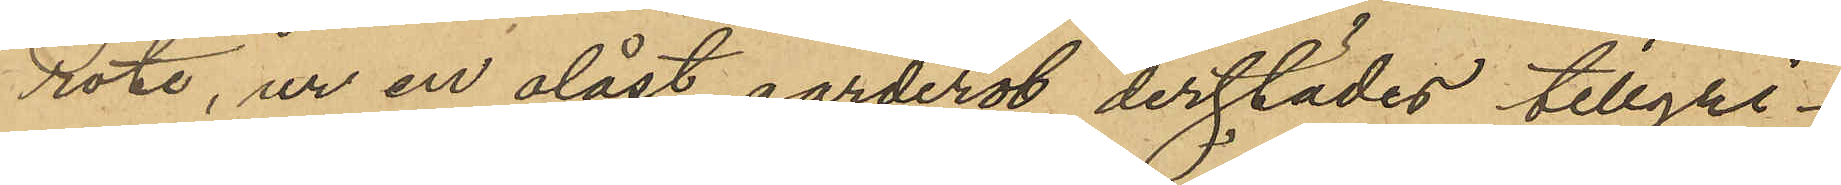rote, ur en olåst garderob derstädes tillgri¬
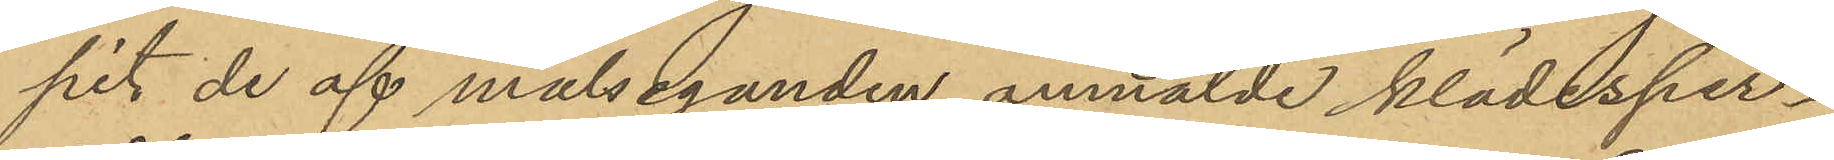pit de af målseganden anmälde klädesper¬
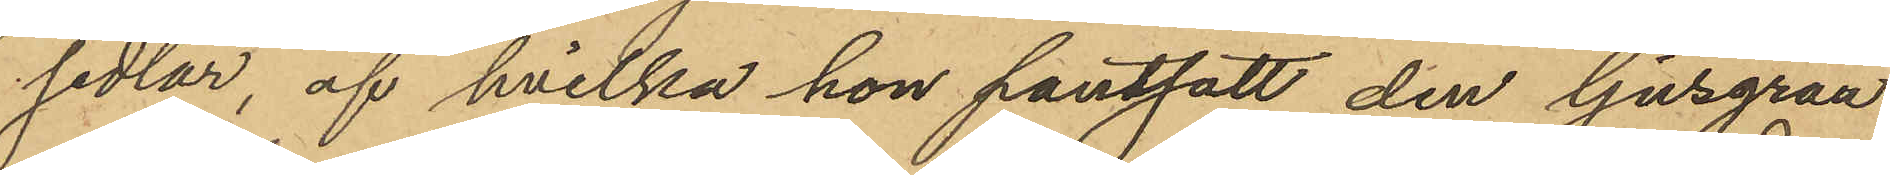sedlar, af hvilka hon pantsatt den ljusgråa
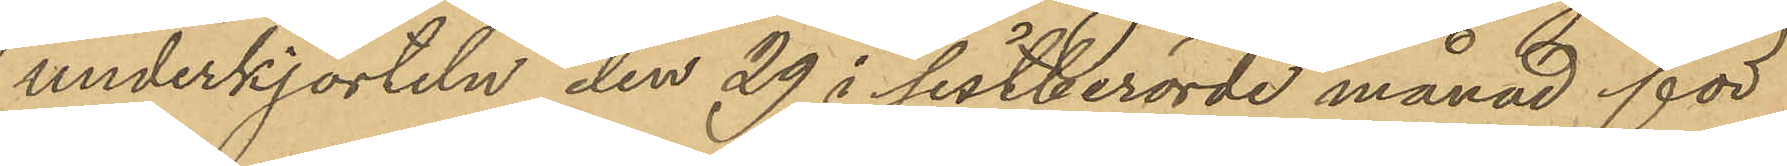underkjorteln den 29 i sistberörde månad för
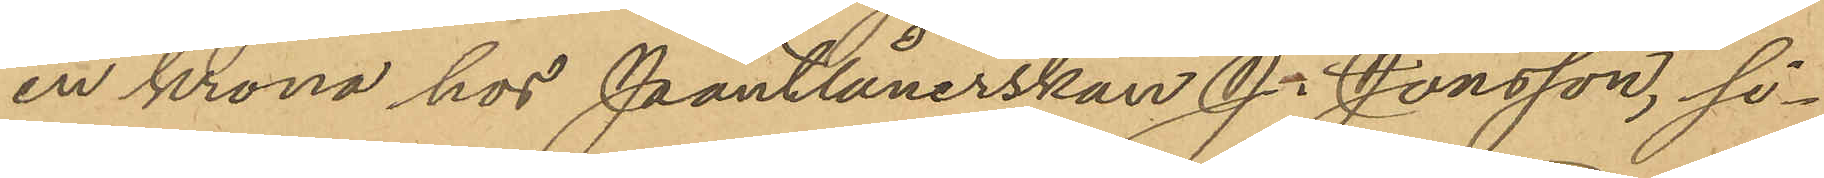en krona hos Pantlånerskan J. Jonsson, si¬
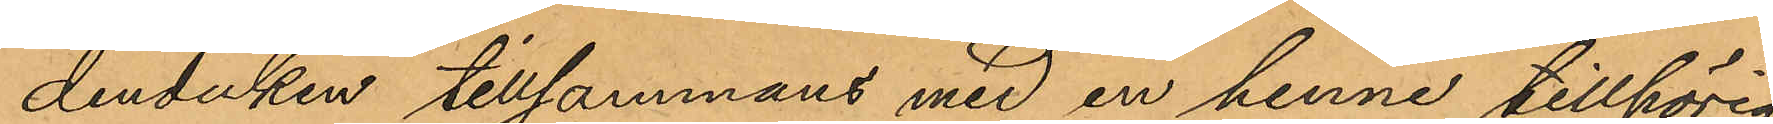denduken tillsammans med en henne tillhörig
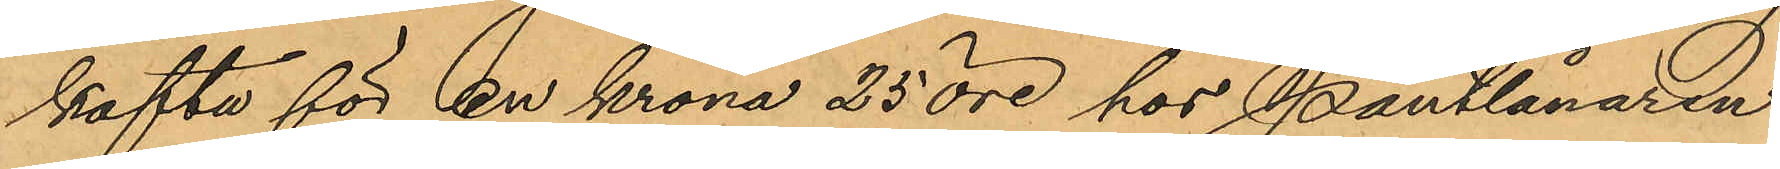kofta för en krona 25 öre hos Pantlånaren
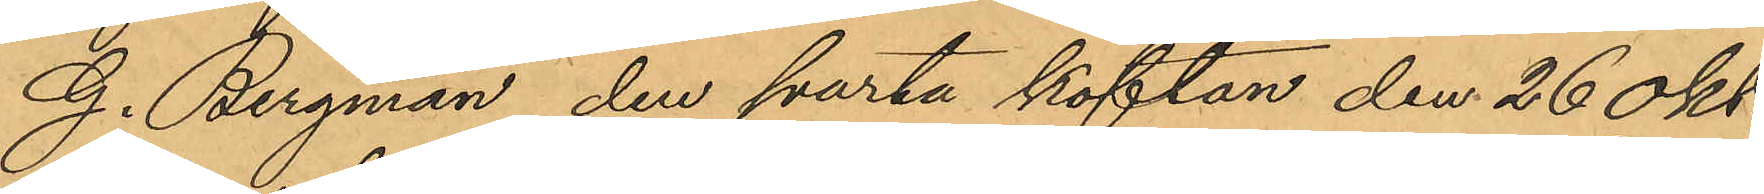G. Bergman, den svarta koftan den 26 Okt.
